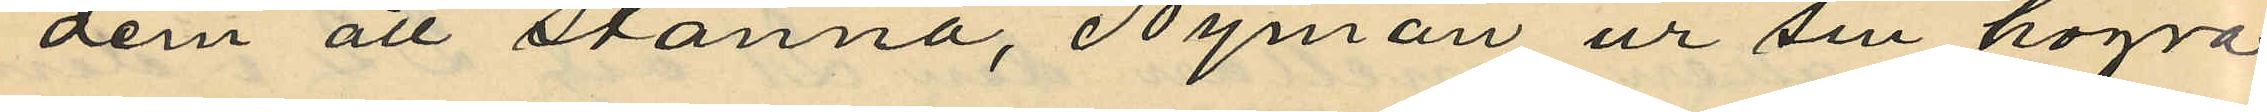dem att stanna, Nyman ur sin högra
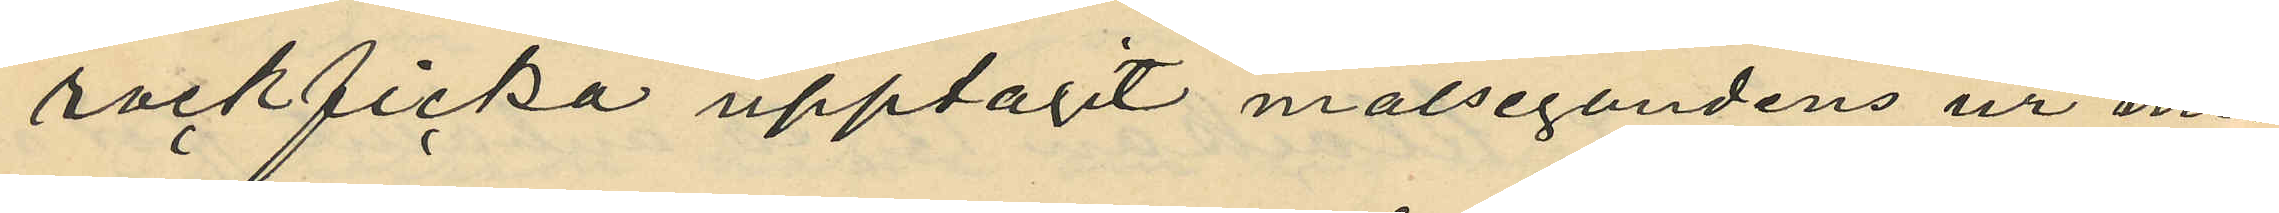rockficka upptagit målsegandens ur med
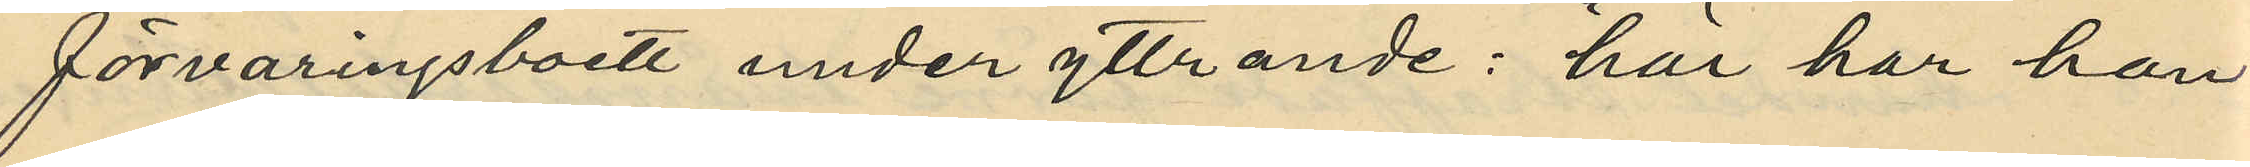förvaringsboett under yttrande: "här har han
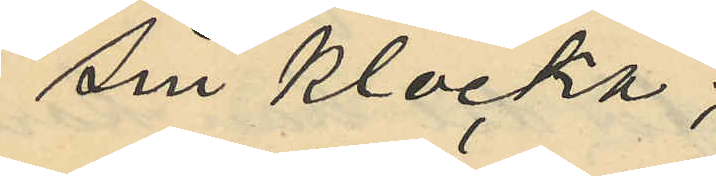sin klocka;
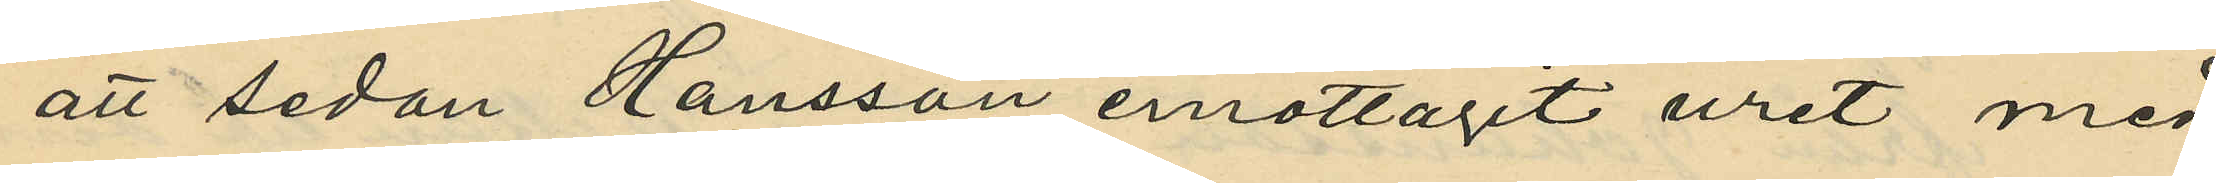att sedan Hansson emottagit uret med
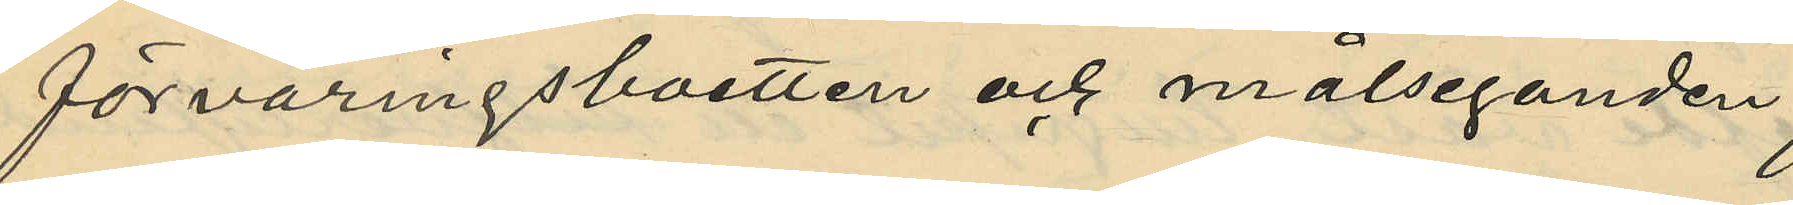förvaringsboetten och målseganden
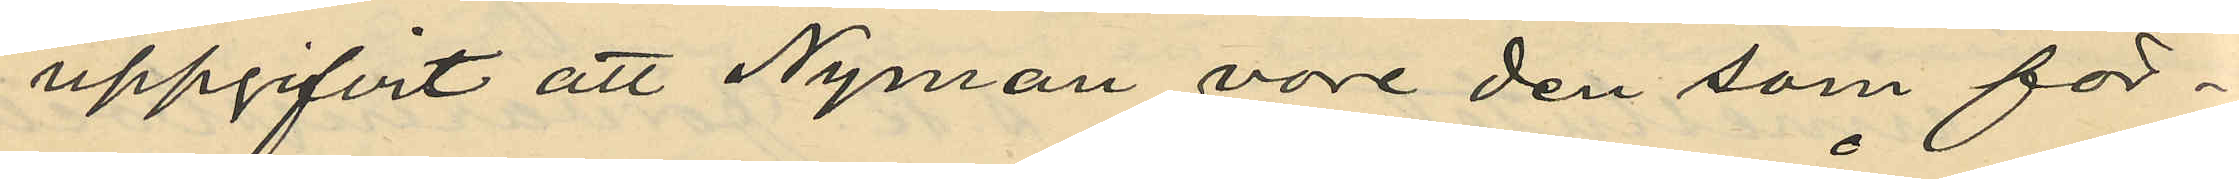uppgifvit att Nyman vore den som för¬
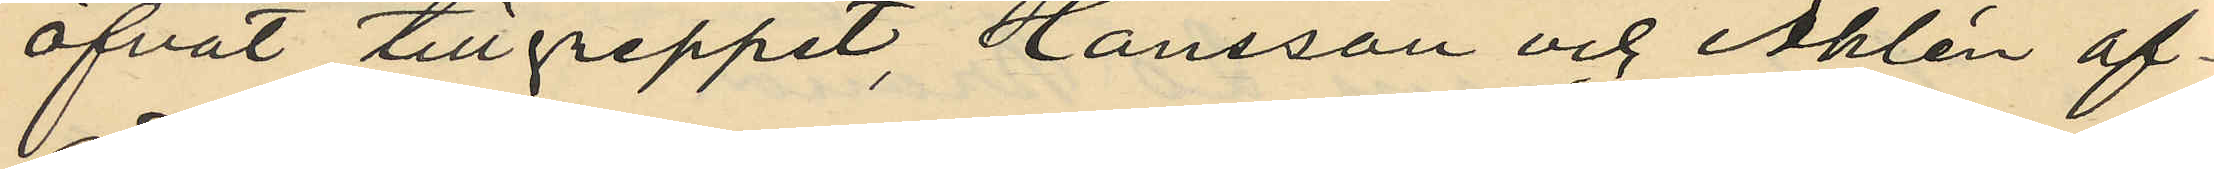öfvat tillgreppet, Hansson och Åhlén af¬
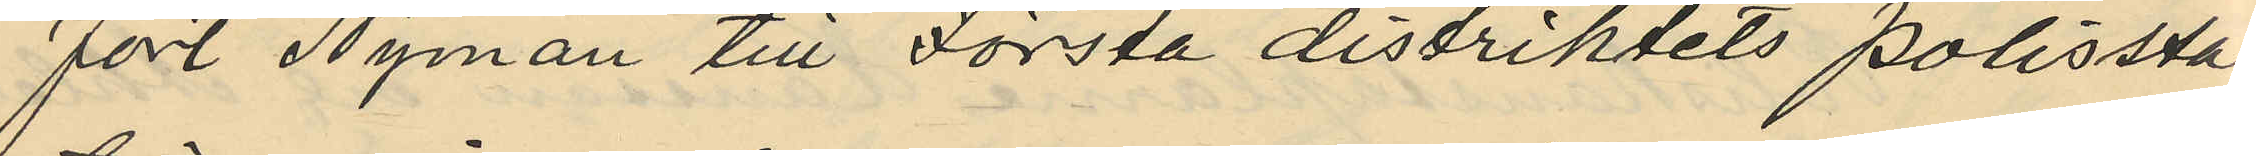fört Nyman till Första distriktets polissta¬
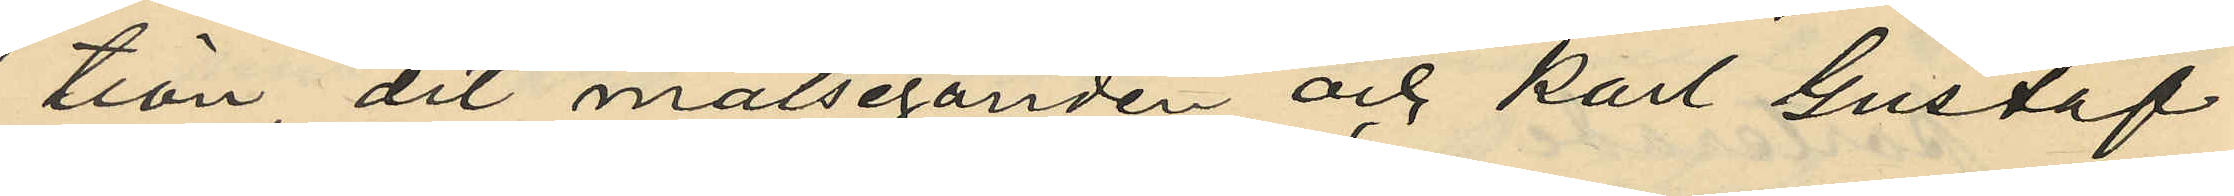tion, dit målseganden och Karl Gustaf
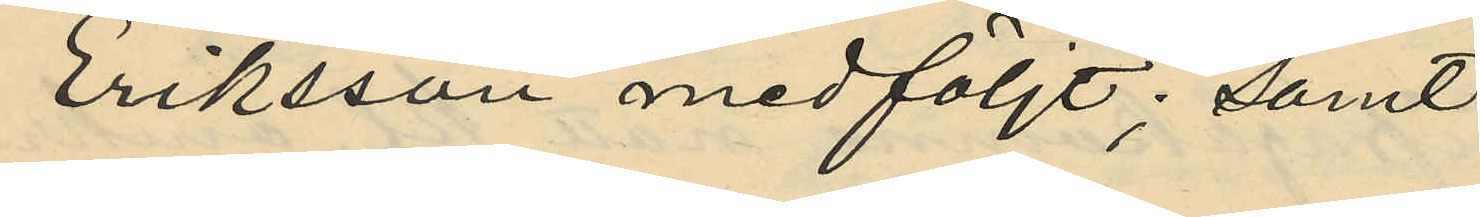Eriksson medföljt; samt
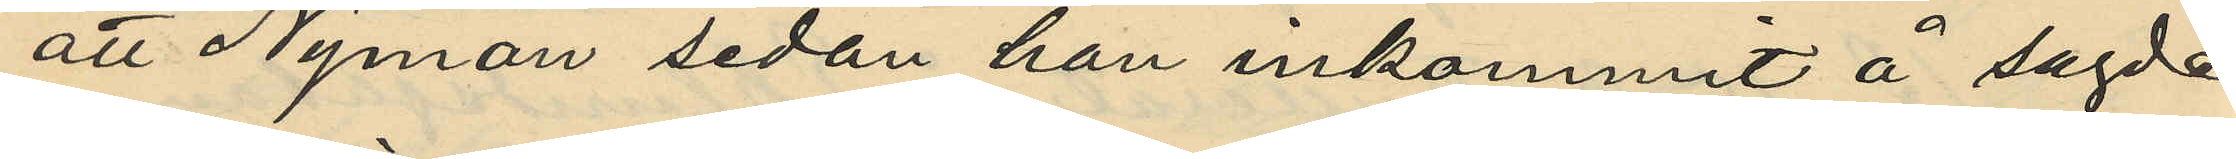att Nyman sedan han inkommit å sagde
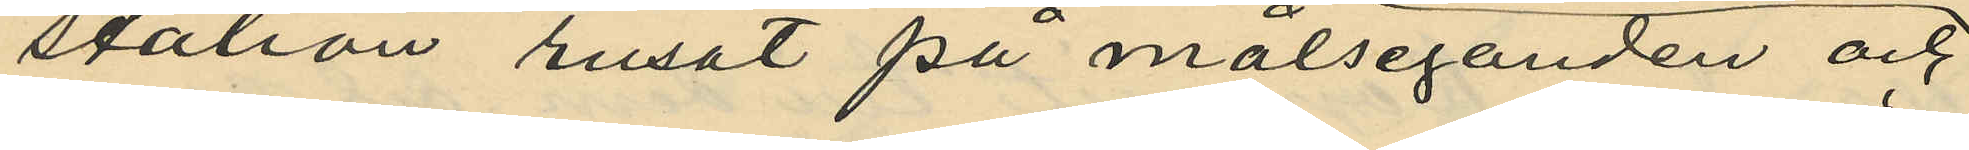station rusat på målseganden och
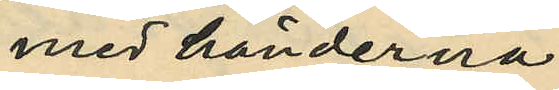med händerna
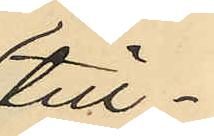till¬
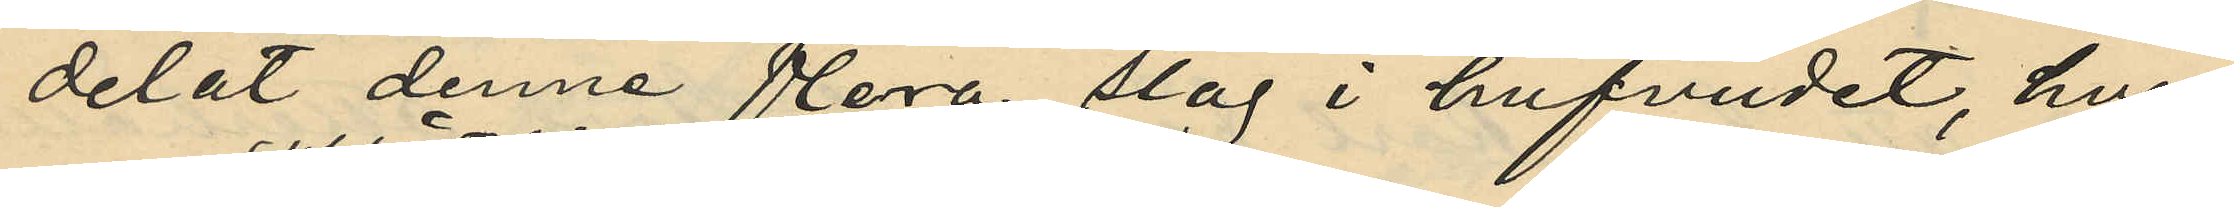delat denne flera slag i hufvudet, hvar
